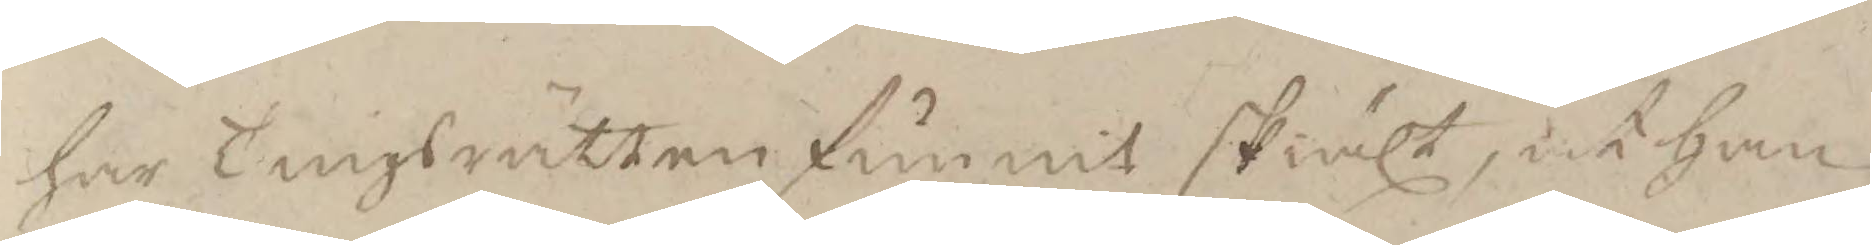har Tingsrätten funnit skiält at han
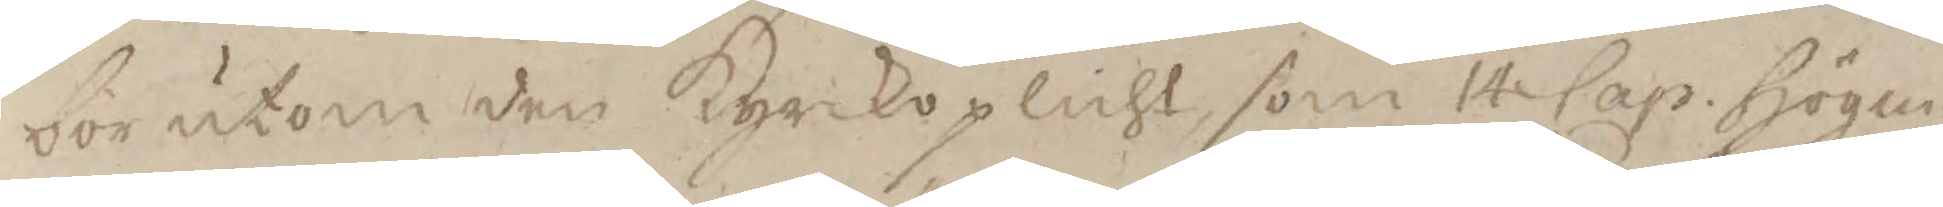bör utom den Kyrkoplicht som 14 Cap. Högm:
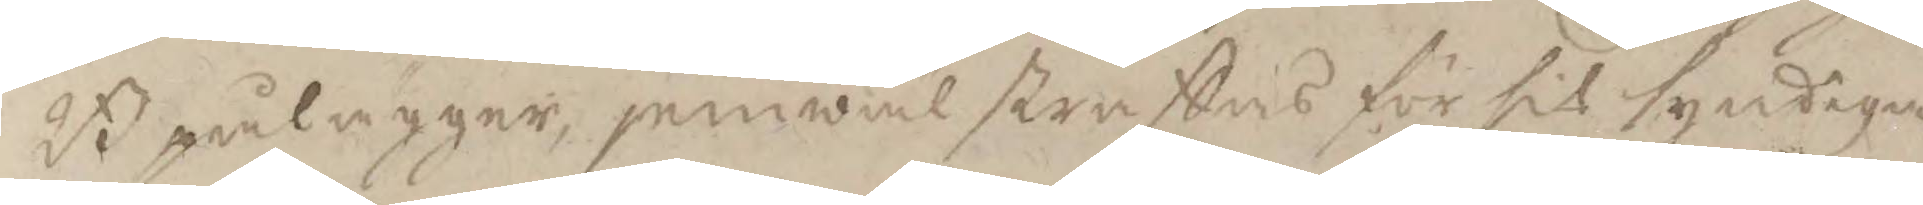B pålägger, jemwäl straffas för sit syndiga
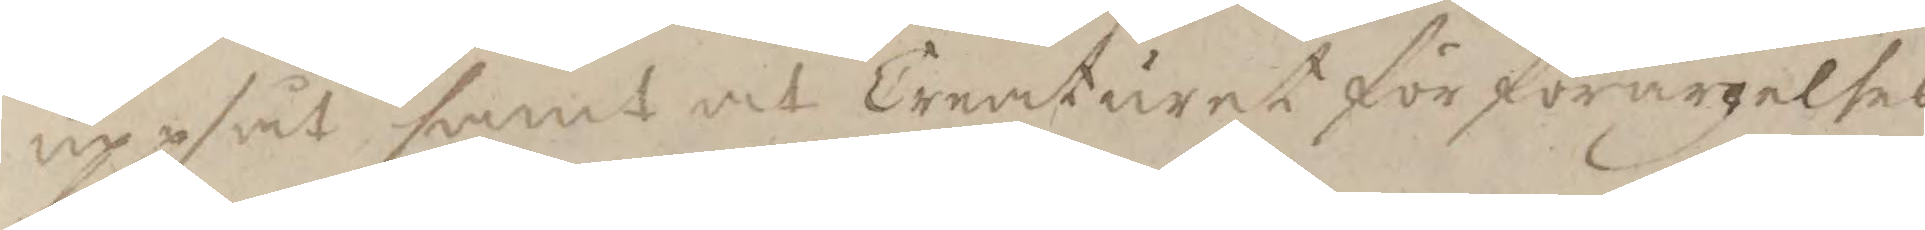uppsåt samt at Creaturet för förargelses
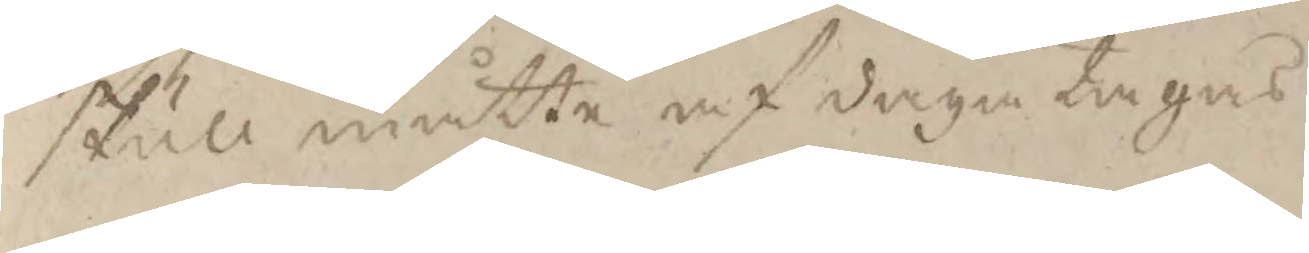skull måtte af daga tagas.
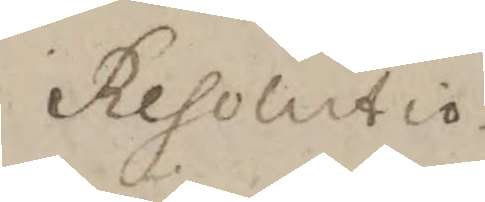Resolutio
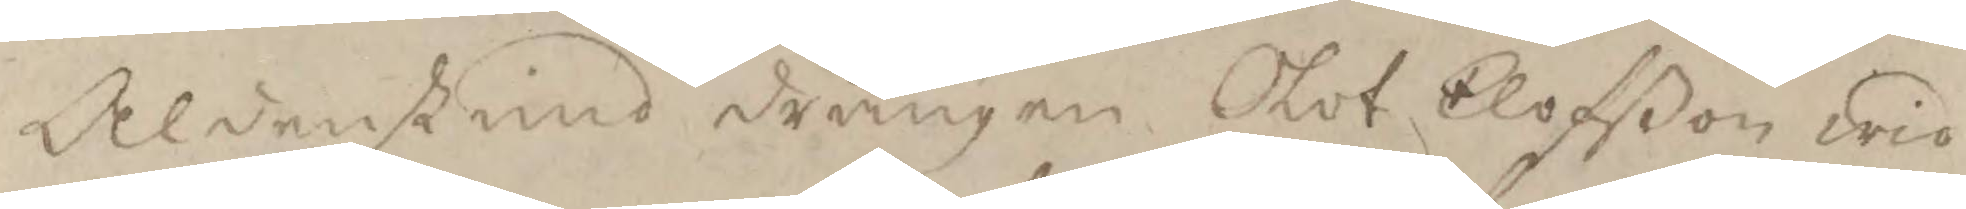Aldenstund drängen Olof Elofßon wid
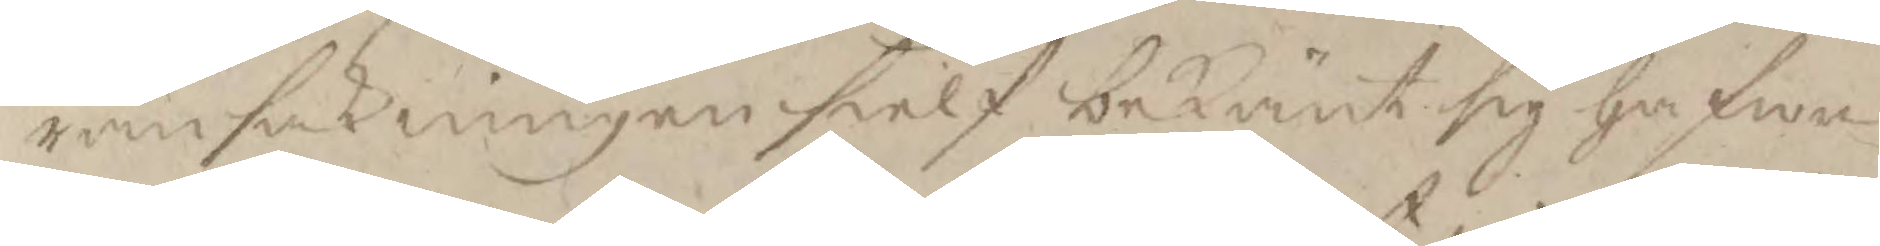ransakningen sielf bekänt sig hafwa
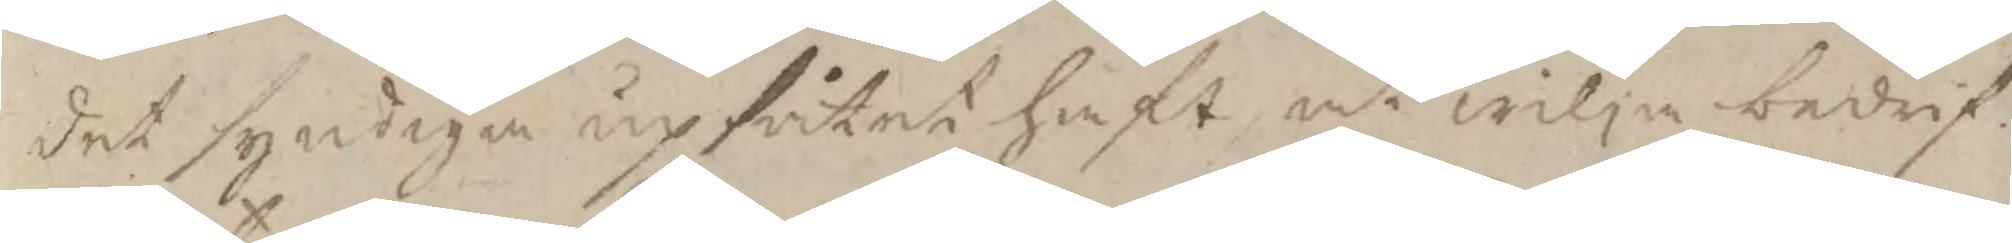det syndiga upsåtet haft at wilja bedrif¬
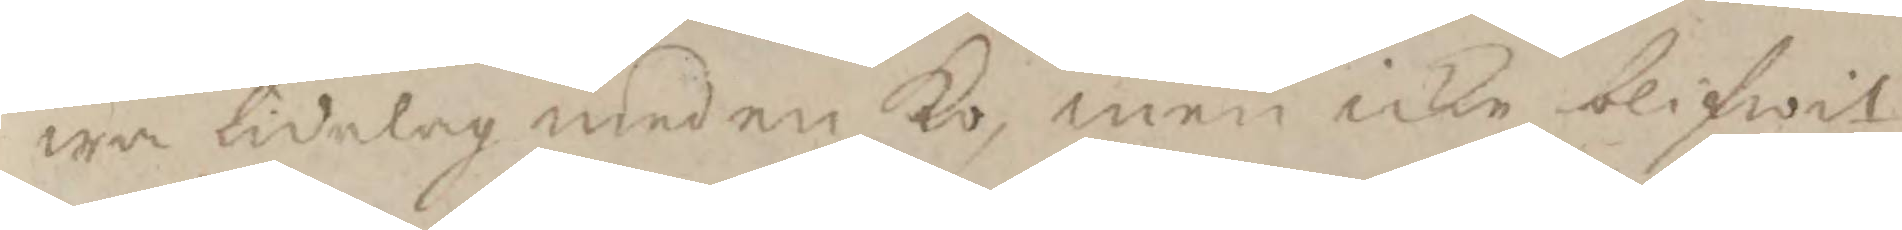wa tidelag med en Ko, men icke blifwit
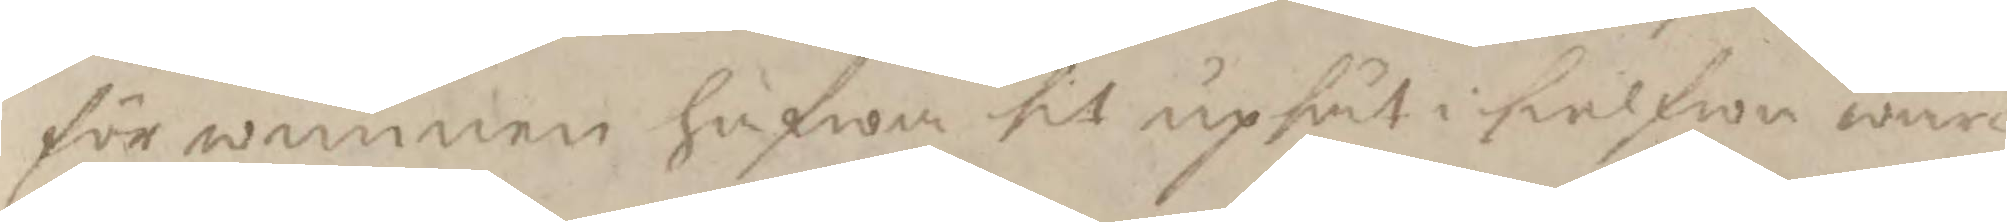förwunnen hafwa sit upsåt i sielfwa wär¬
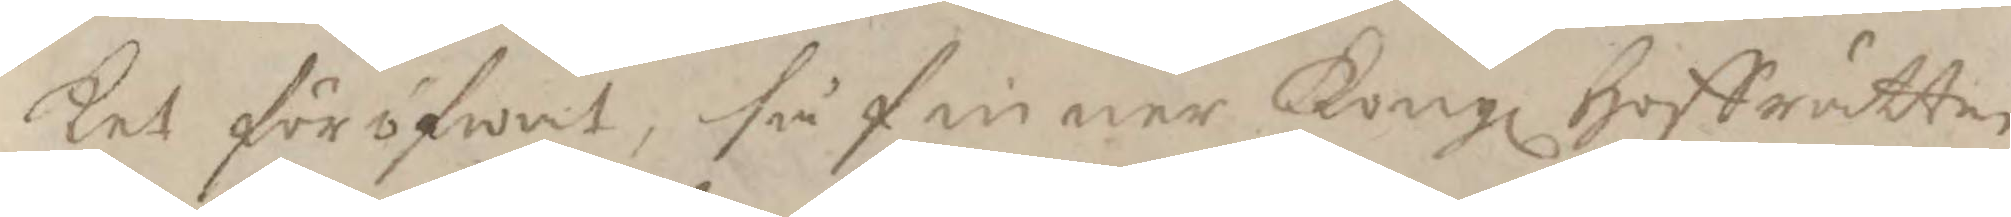ket föröfwat, så finner Kongl Hoffrätten
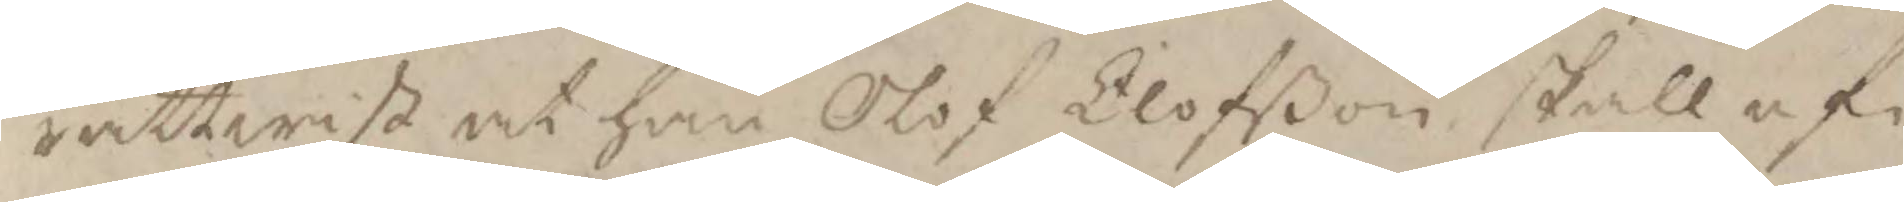rättwist at han Olof Elofßon skall af¬
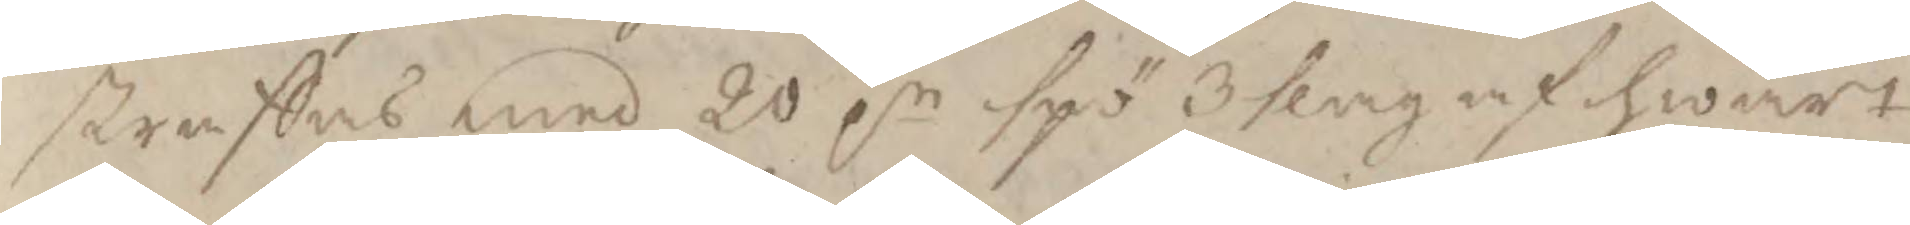straffas med 20 pr spö 3 slag af hwart
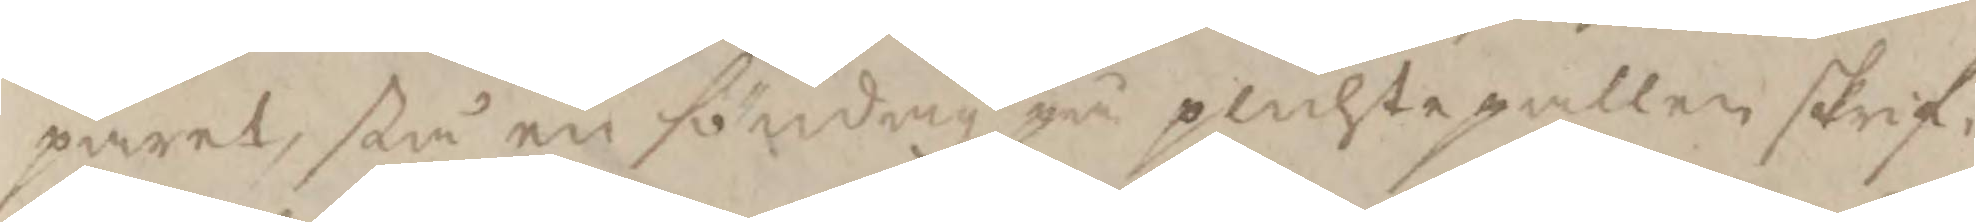paret, stå en söndag på plichtpallen skrif¬
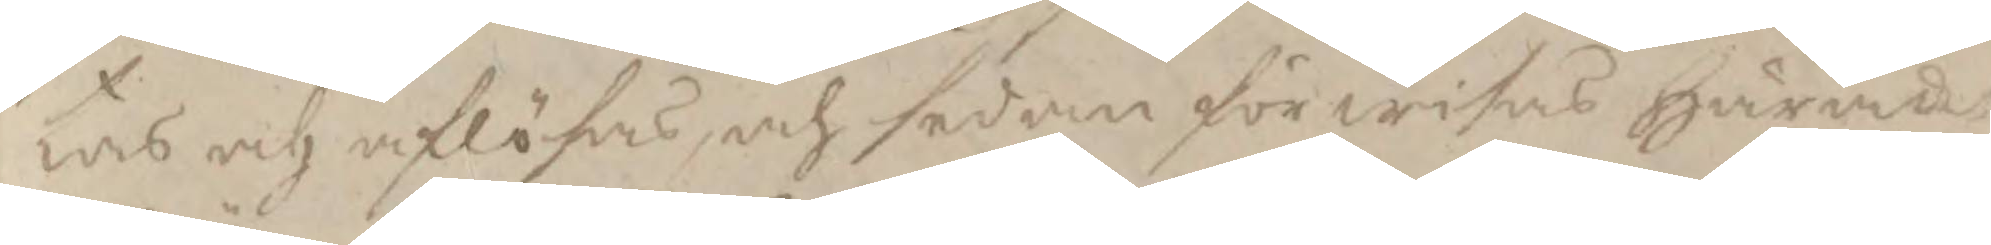tas och aflösas, och sedan förwisas häradet
